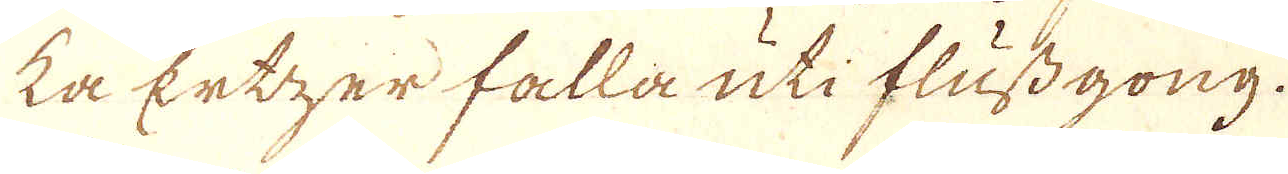ka Ertzer falla uti flussgong.
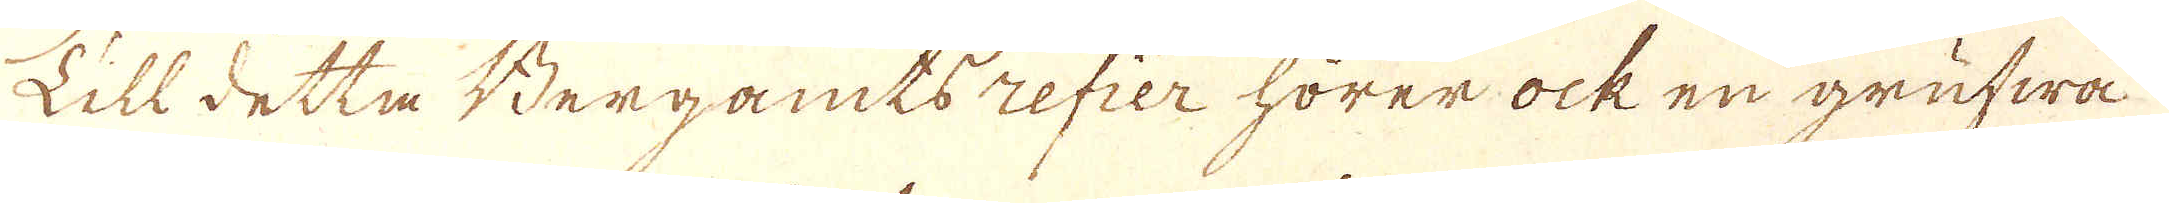Till detta Bergamtsrefier hörer ock en grufwa
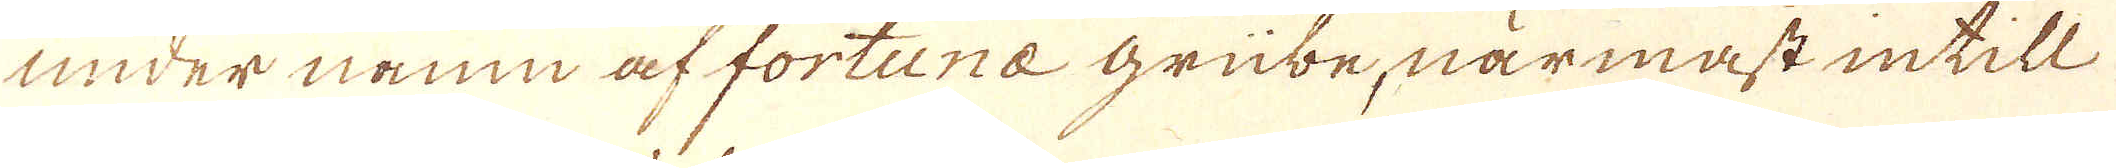under namn af fortuna grübe, närmast intill
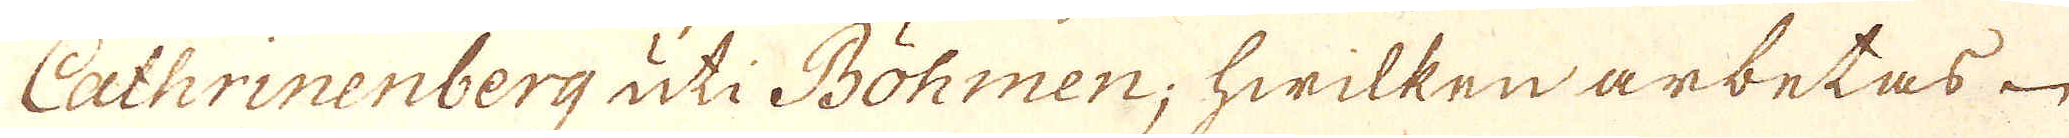Cathrinenberg uti Böhmen; hwilken arbetas
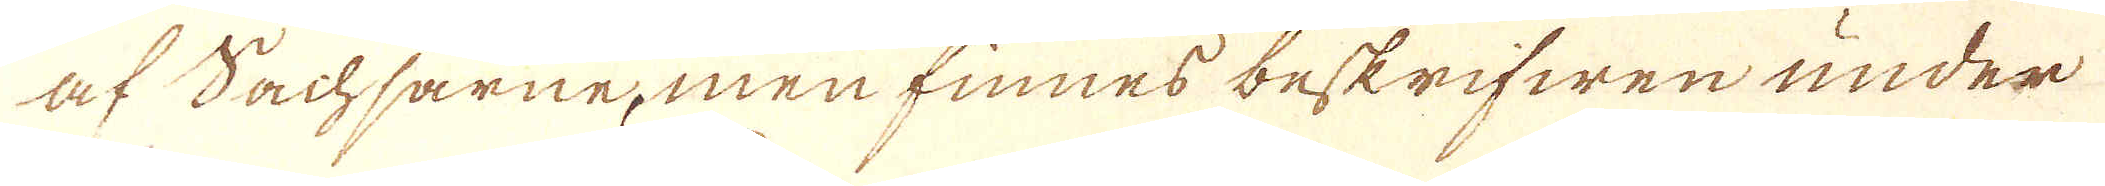af Bachsarne, men finnes beskrifwen under
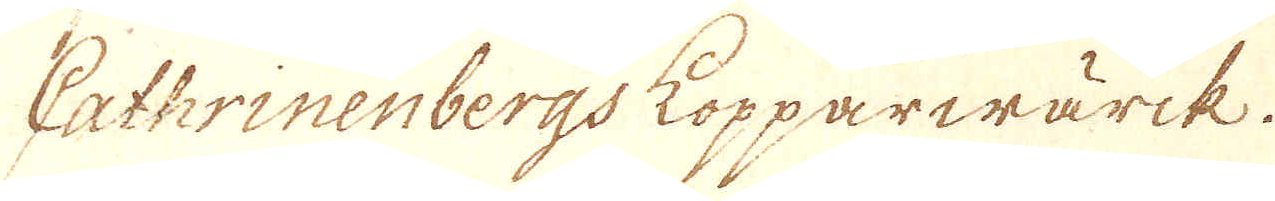Cathrinenbergs kopparwärck.
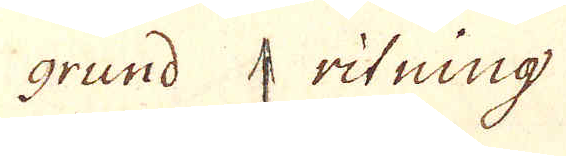grund ritning
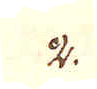2.
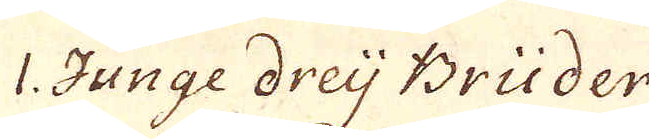1. Junge dreij Brüder
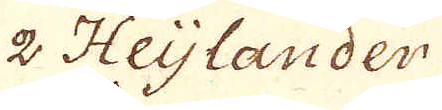2 Heijlander
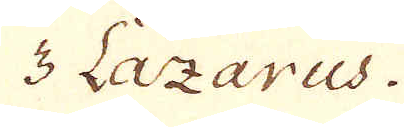3 Laxarus.
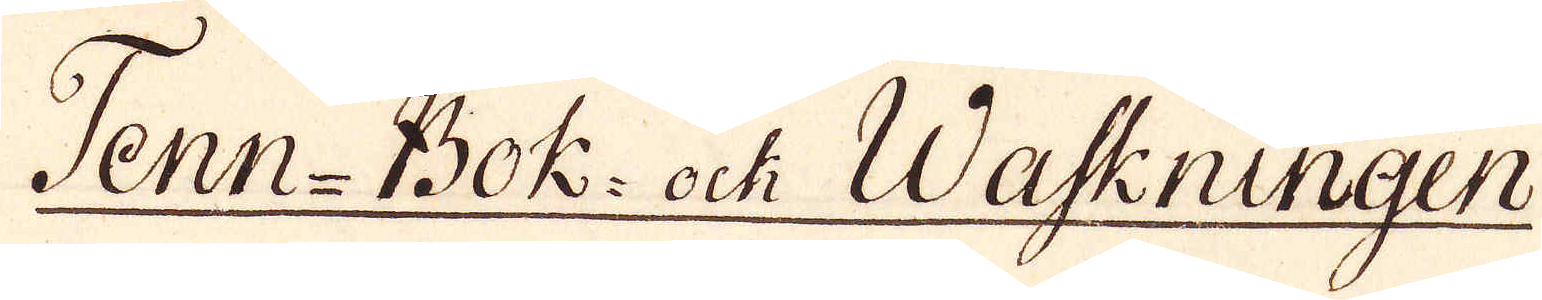Tenn-Bok- ock Waskningen
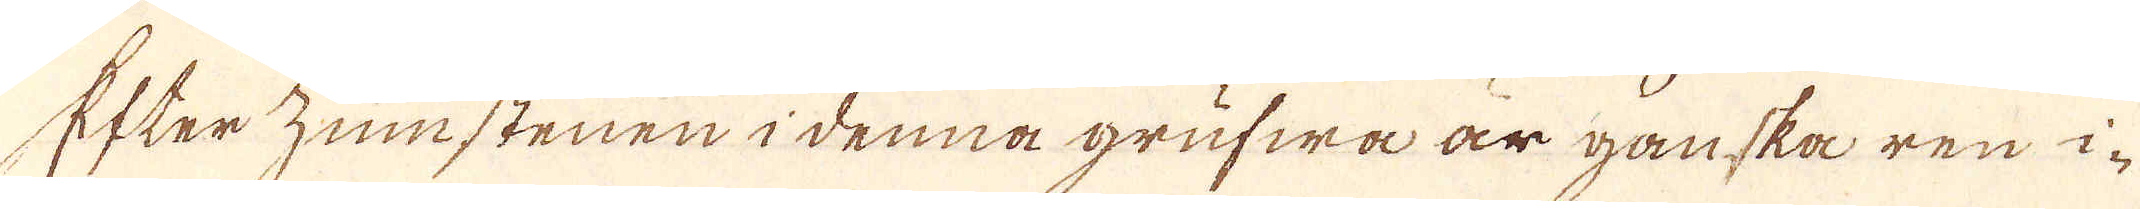Efterzumstenen i denna grufwa är ganska ren i-
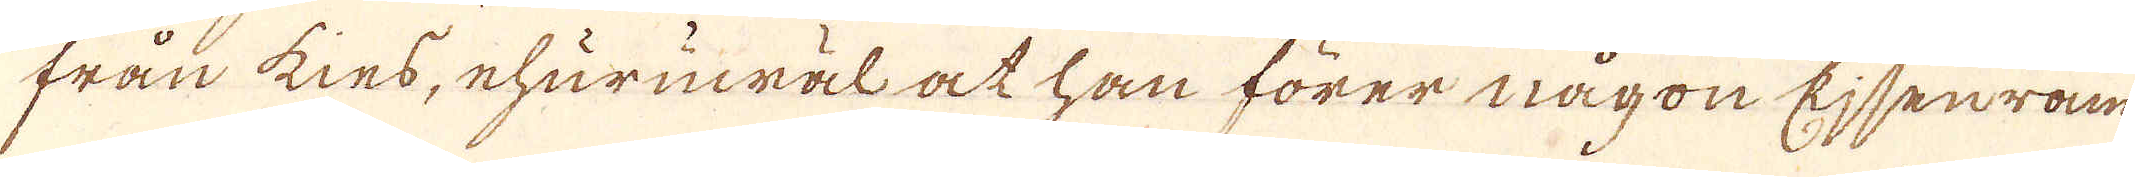från kies, ehuruwäl at han förer någon Ejsenram
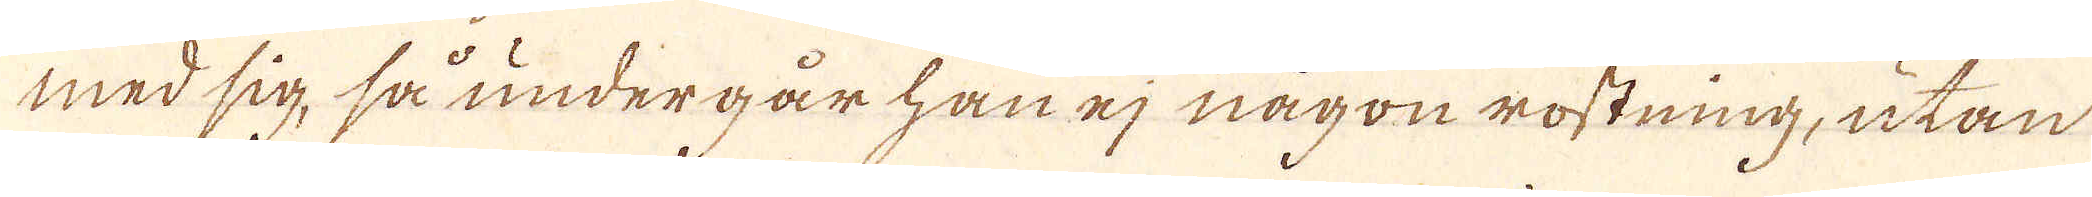med sig, så undergår han ej någon rostning, utan
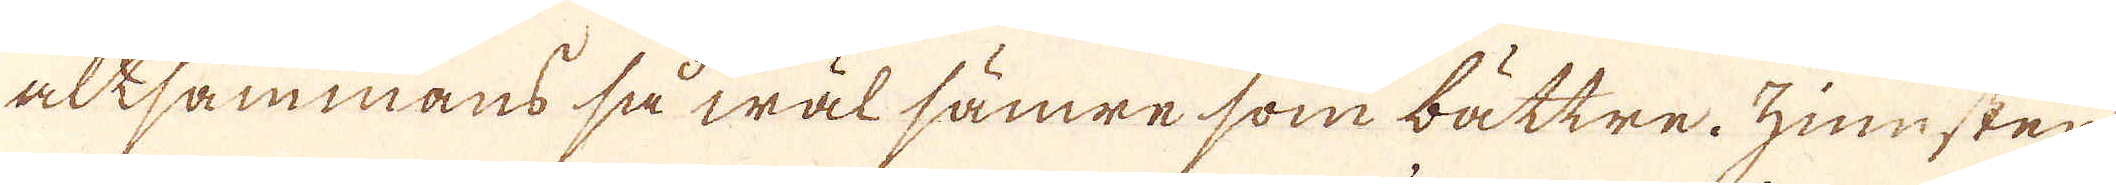altsammans så wäl sämre som bättre. zinnsten
